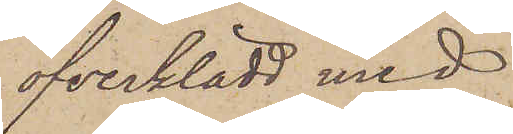öfverklädd med
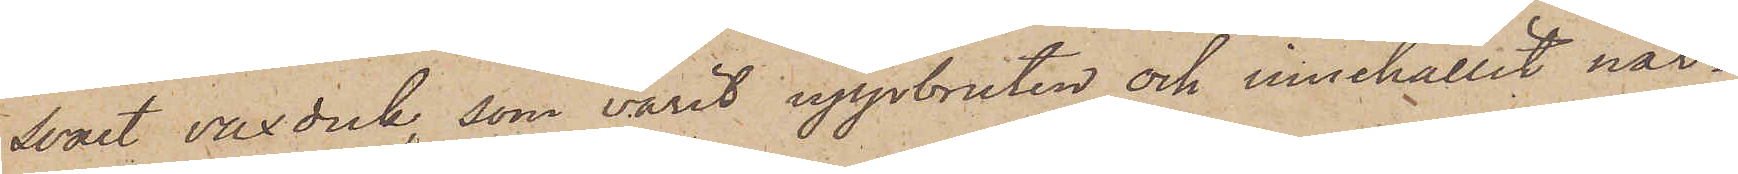Svart vaxduk, som varit uppbruten och innehållit när¬
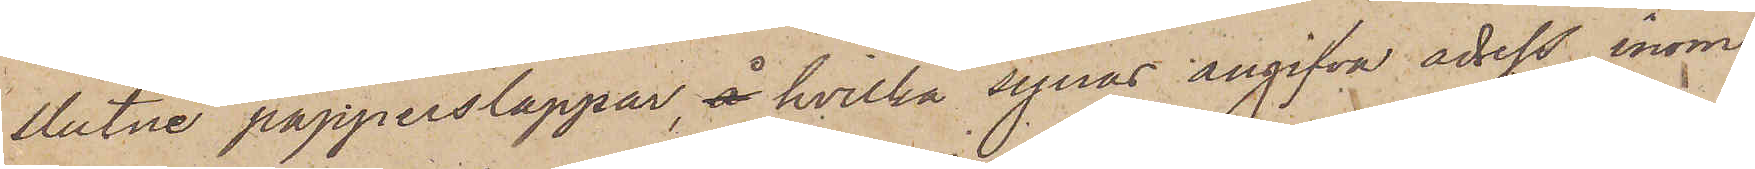slutne papperslappar, å hvilka synas angifva adress inom
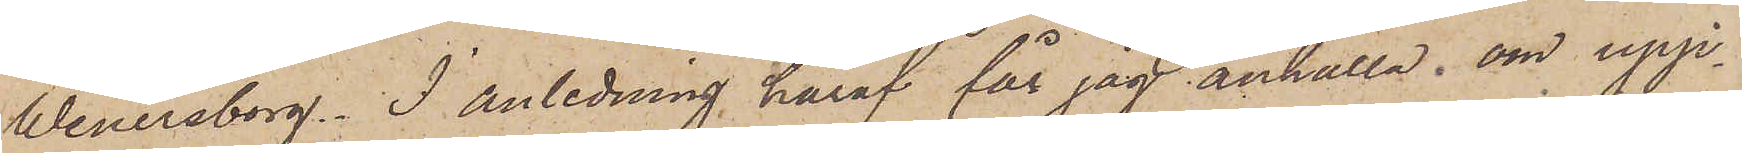Wenersborg. I anledning häraf får jag anhålla, om upp¬
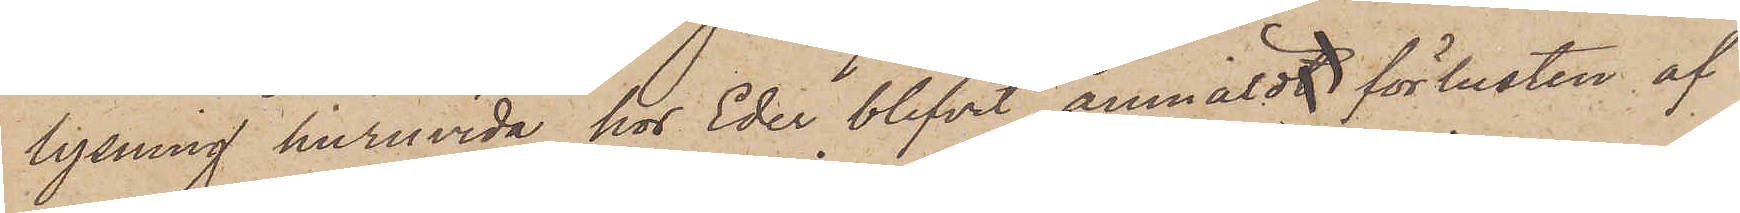lysning huruvida hos Eder blifvit anmäldt förlusten af
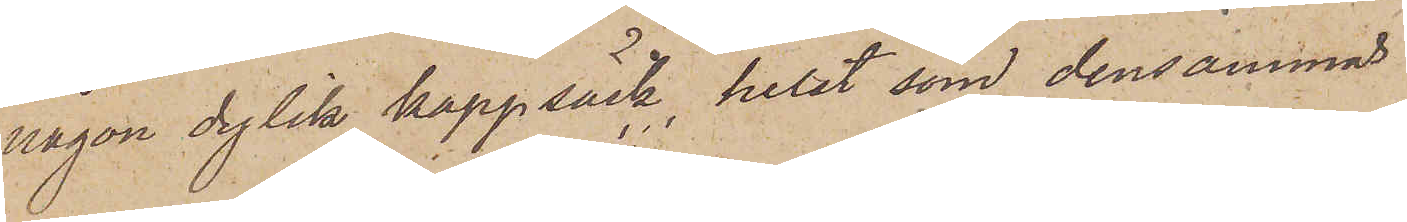någon dylik kappsäck, helst som densammas
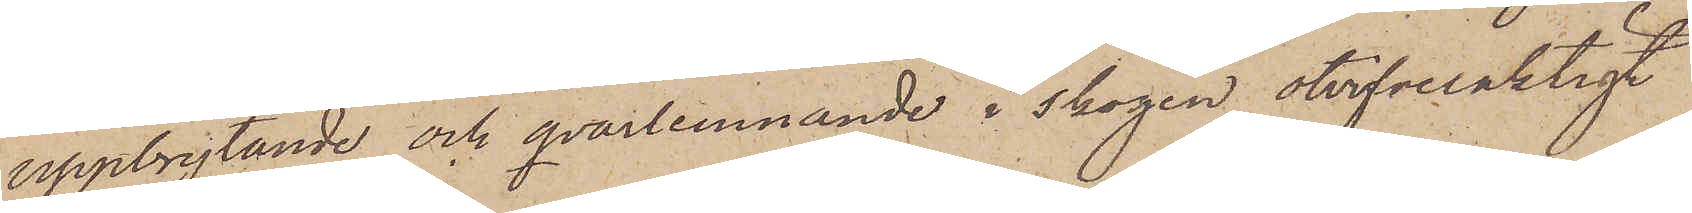uppbrytande och qvarlemnande i skogen otvifvelaktigt
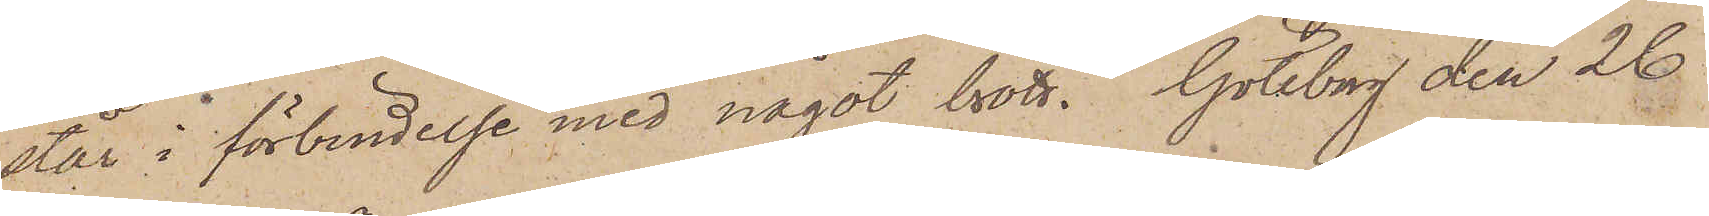står i förbindelse med något brott. Göteborg den 26
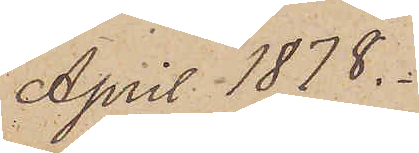April 1878.
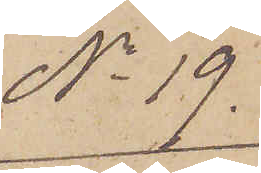No 19.
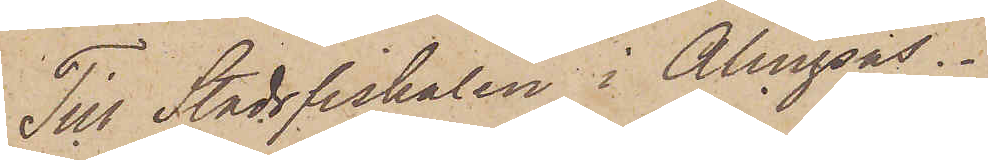Till Stadsfiskalen i Alingsås.
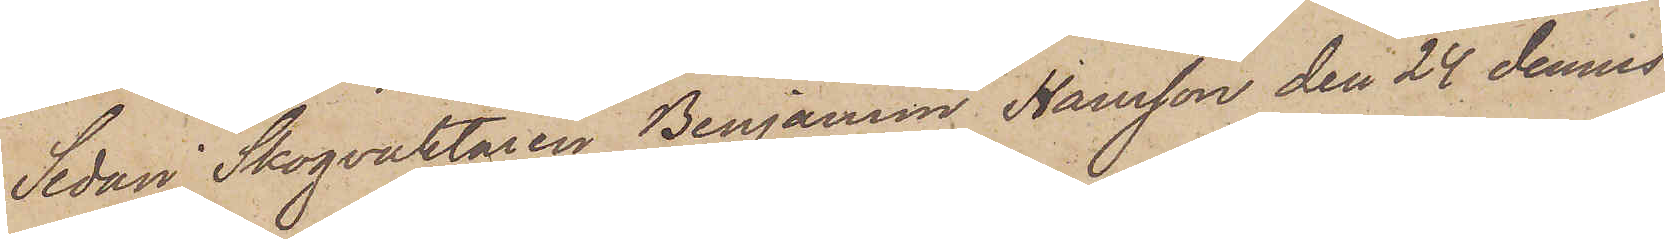Sedan Skogvaktaren Benjamin Hansson den 24 dennes
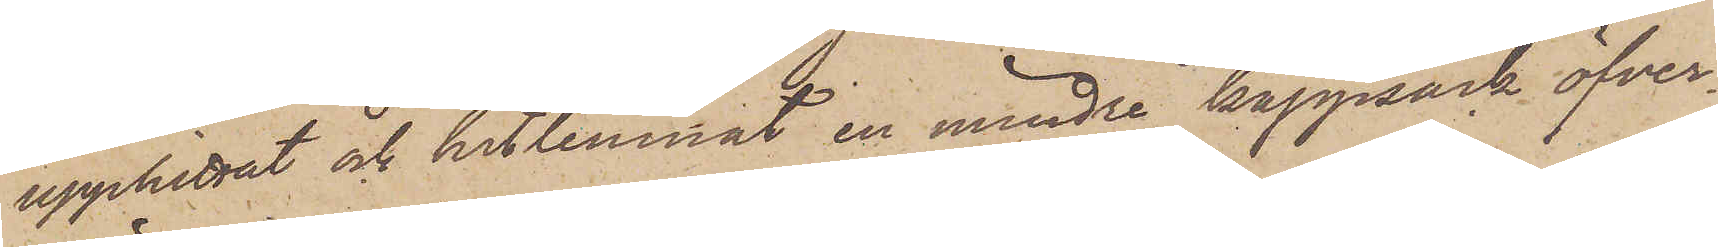upphittat och hitlemnat en mindre kappsäck öfver¬
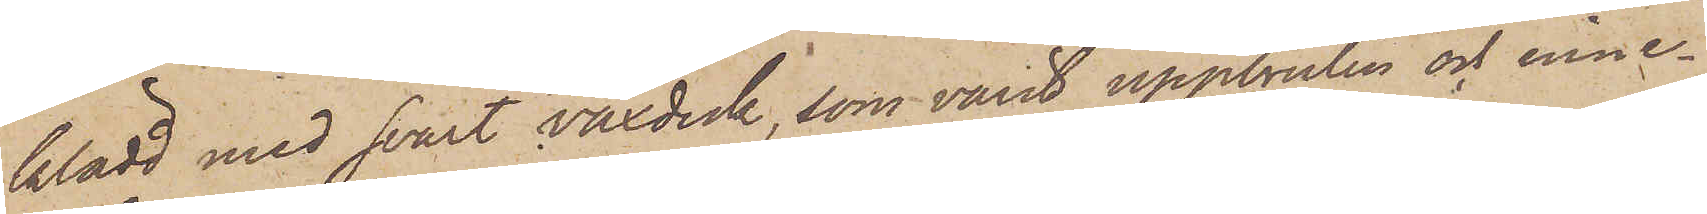klädd med svart vaxduk, som varit uppbruten och inne¬
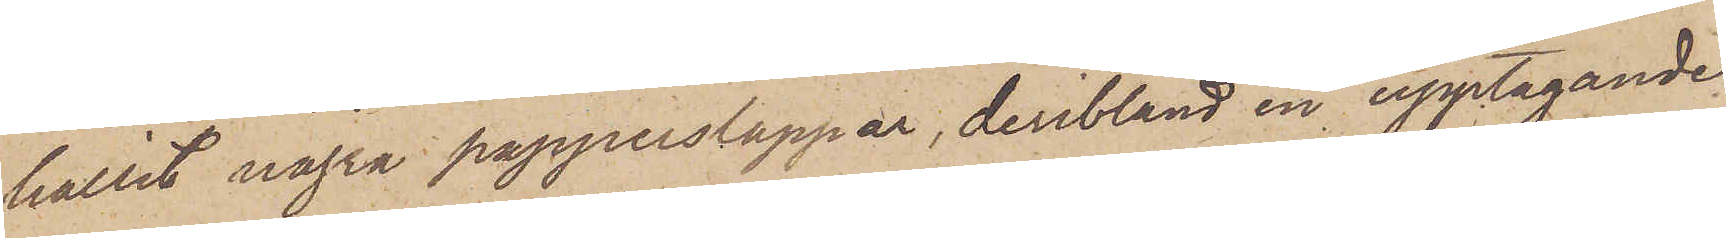hållit några papperslappar, deribland en upptagande
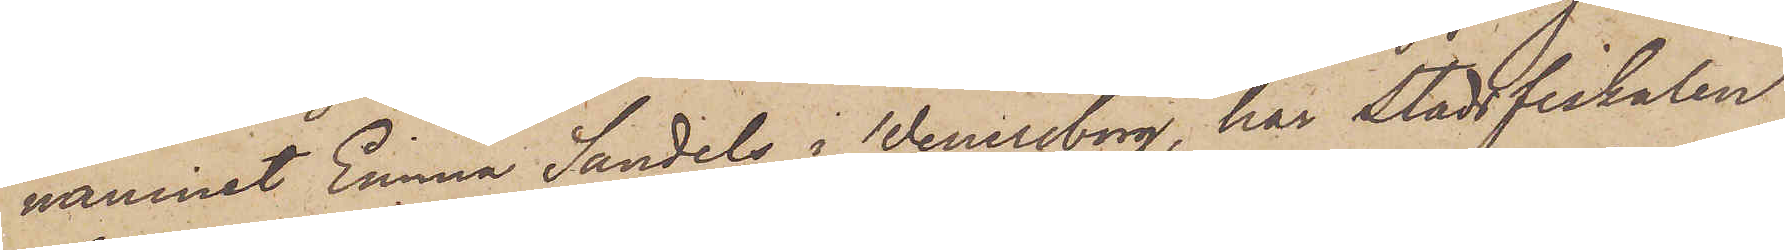namnet Emma Sandels i Wenersborg, har Stadsfiskalen
